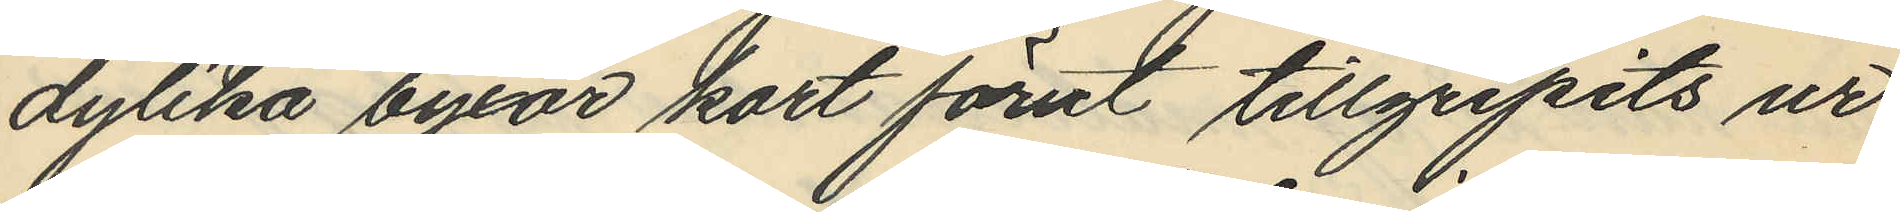dylika byxor kort förut tillgripits ur
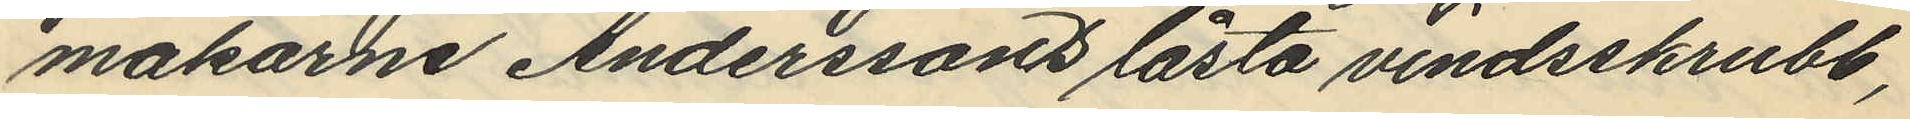makarne Anderssons låsta vindsskrubb,
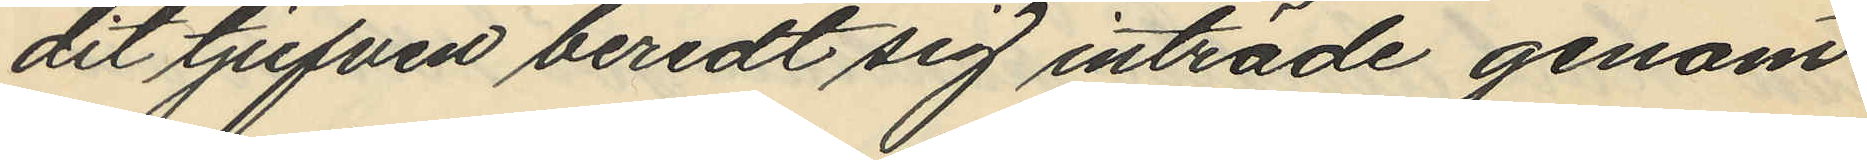dit tjufven beredt sig inträde genom
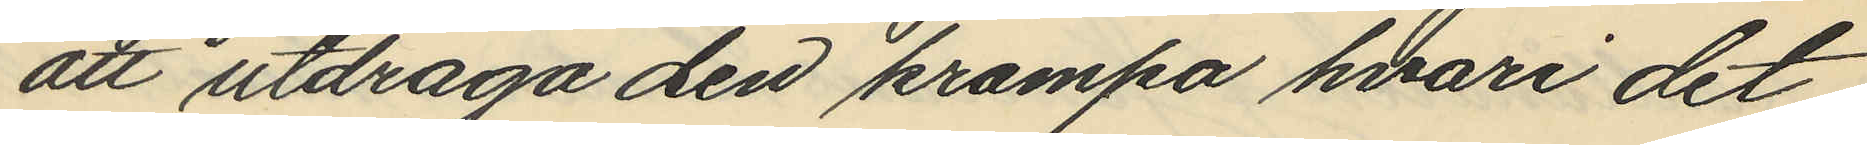att utdraga den krampa hvari det
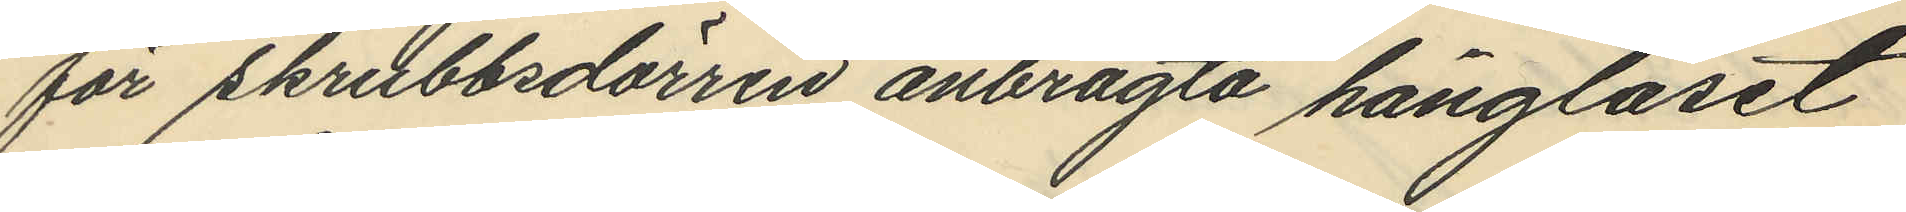för skrubbsdörren anbragta hänglåset
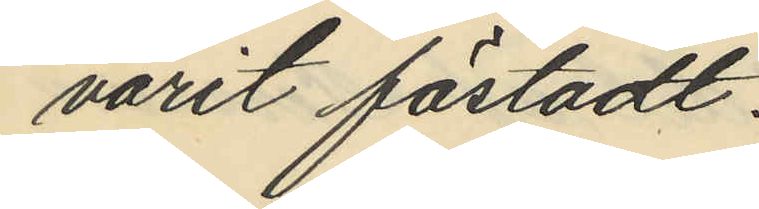varit fästadt.
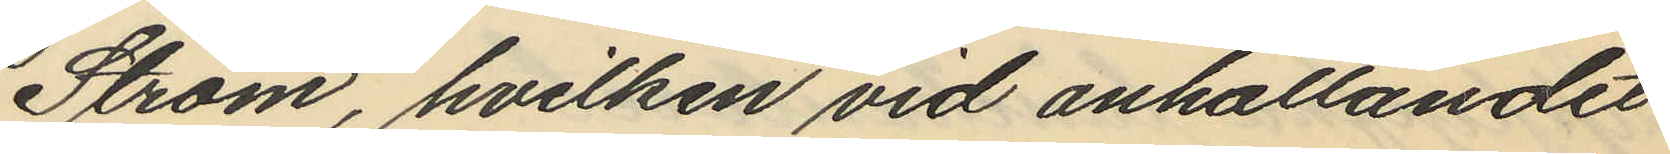Ström, hvilken vid anhållandet
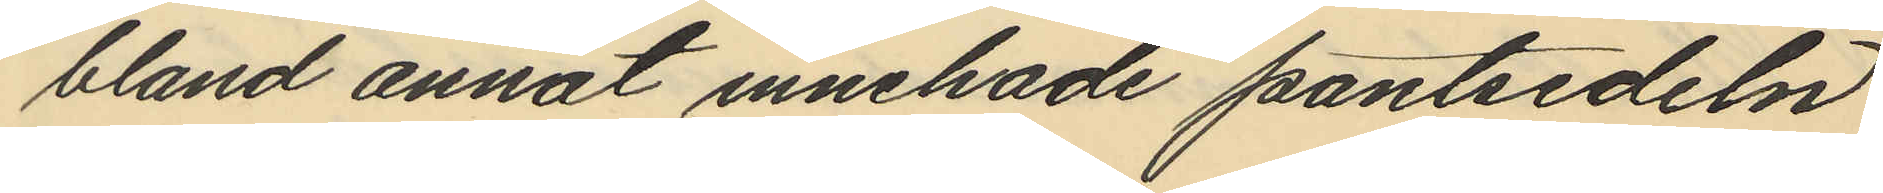bland annat innehade pantsedeln
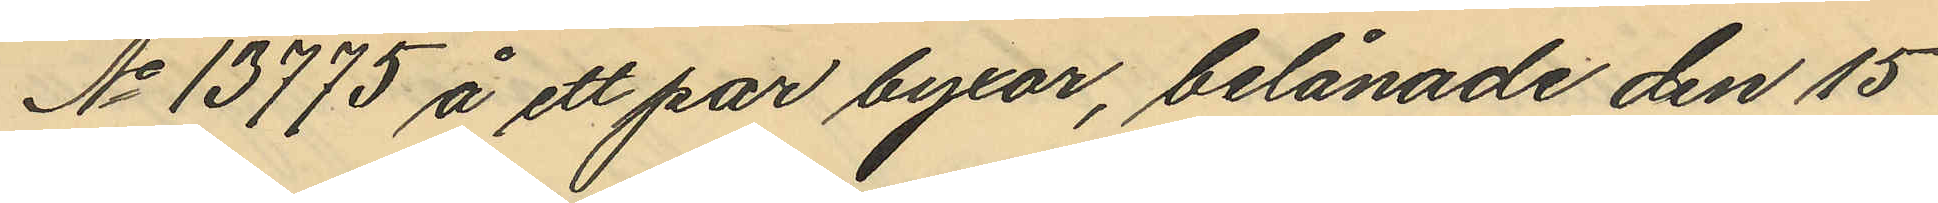No 13775 å ett par byxor, belånade den 15
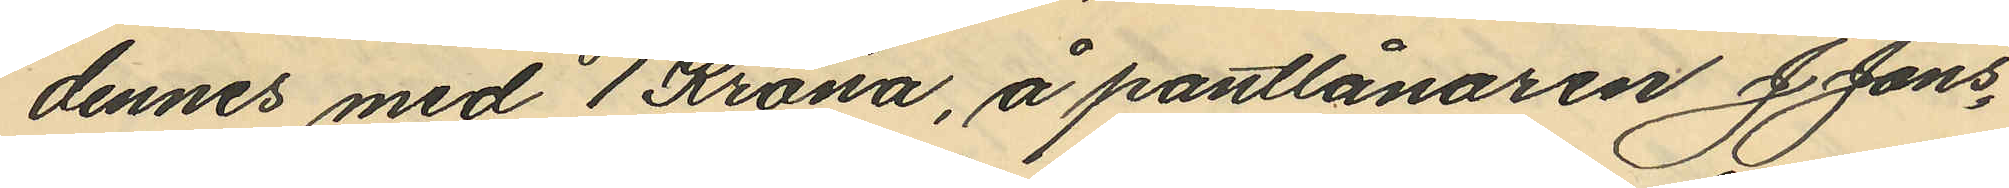dennes med 1 Krona, å pantlånaren J. Jons¬
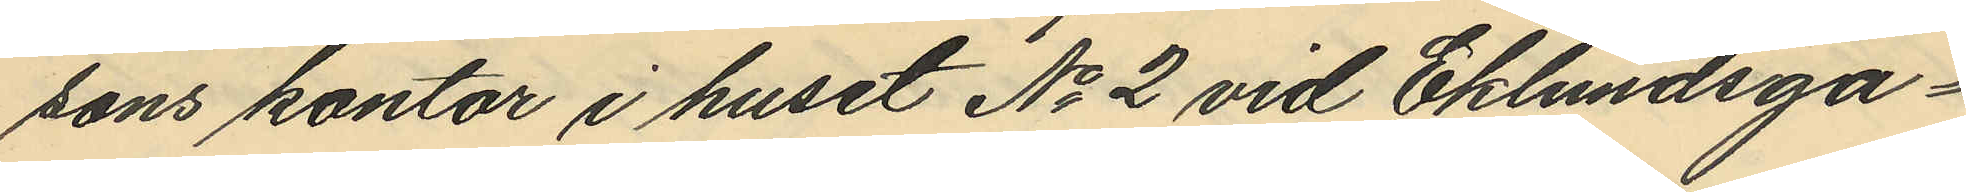sons kontor i huset No 2 vid Eklundsga¬
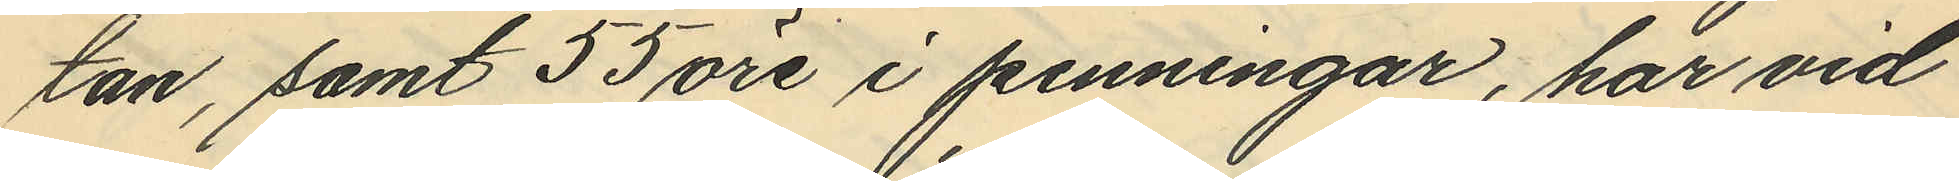tan, samt 55 öre i penningar, har vid
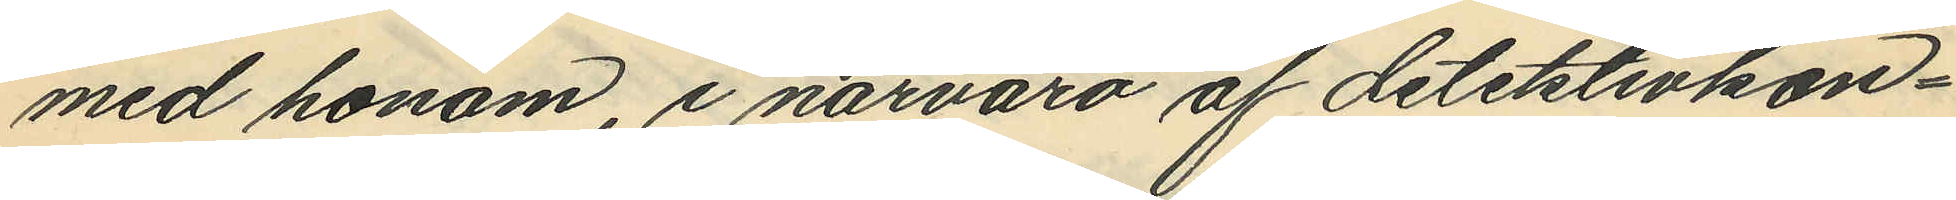med honom, i närvaro af detektivkon¬
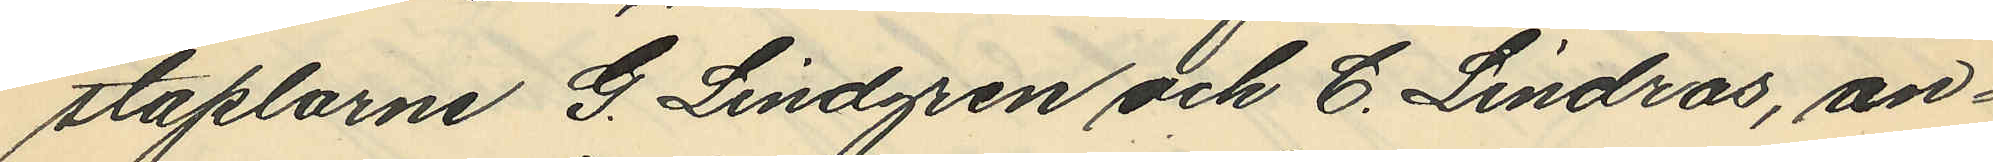staplarne G. Lindgren och C. Lindros, an¬
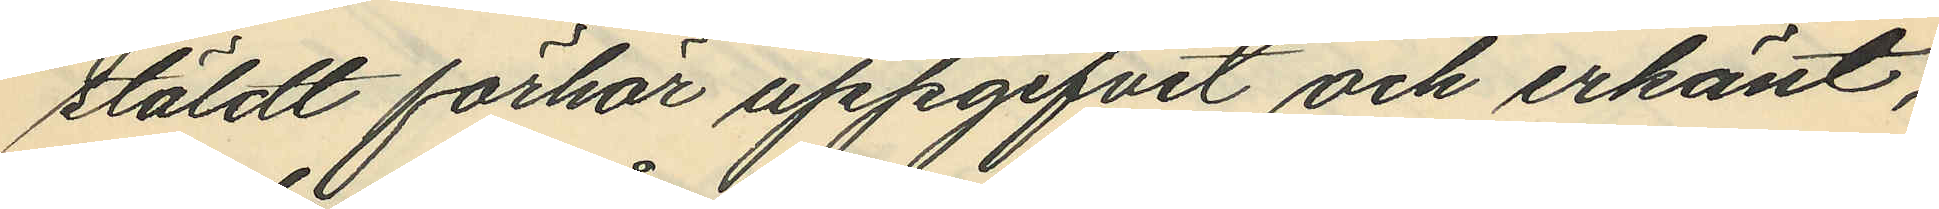stäldt förhör uppgifvit och erkänt,
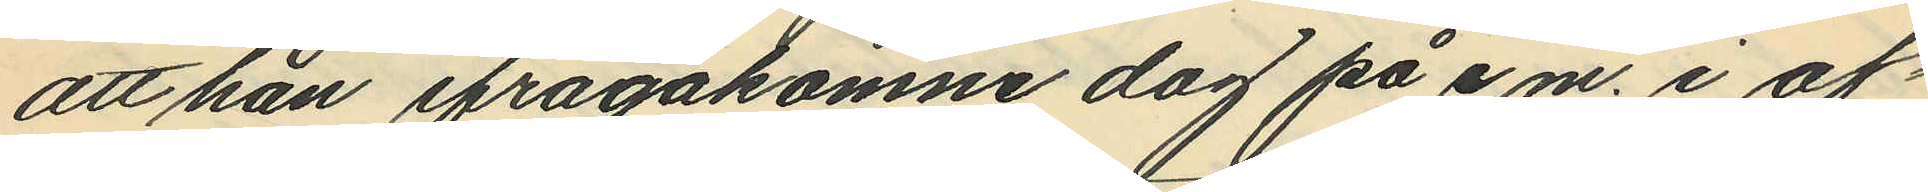att han ifrågakomne dag på e.m. i af¬
